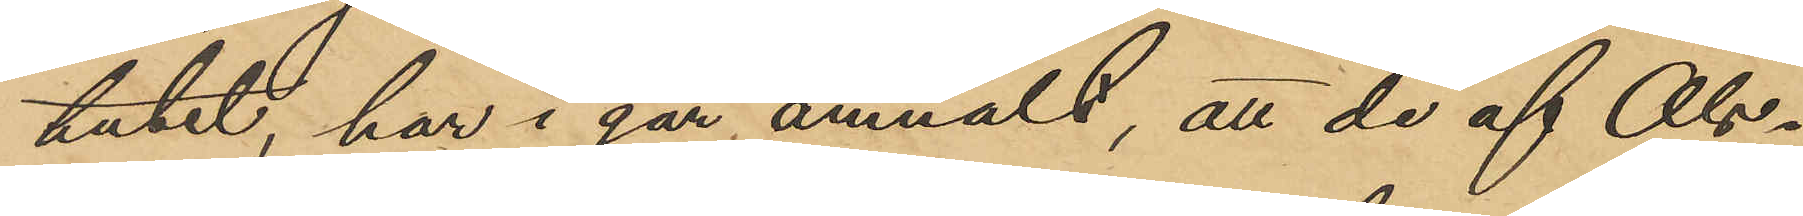tutet, har i går anmält, att de af Ols¬
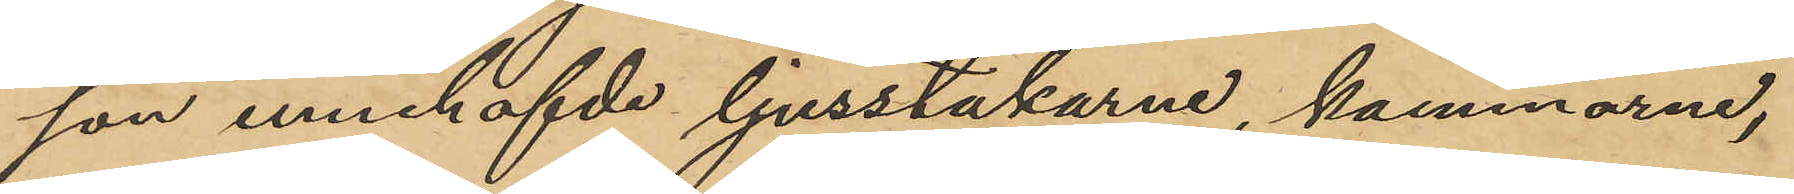son innehafvde ljusstakarne, kammarne,
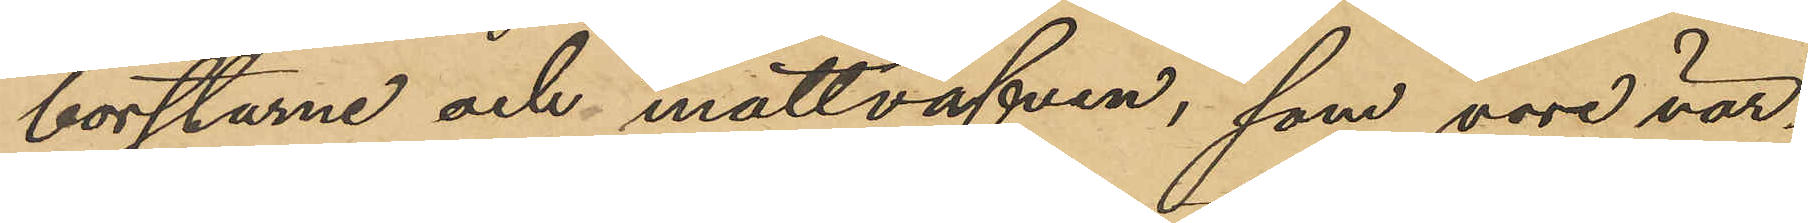borstarne och mattväfven, som vore vär¬
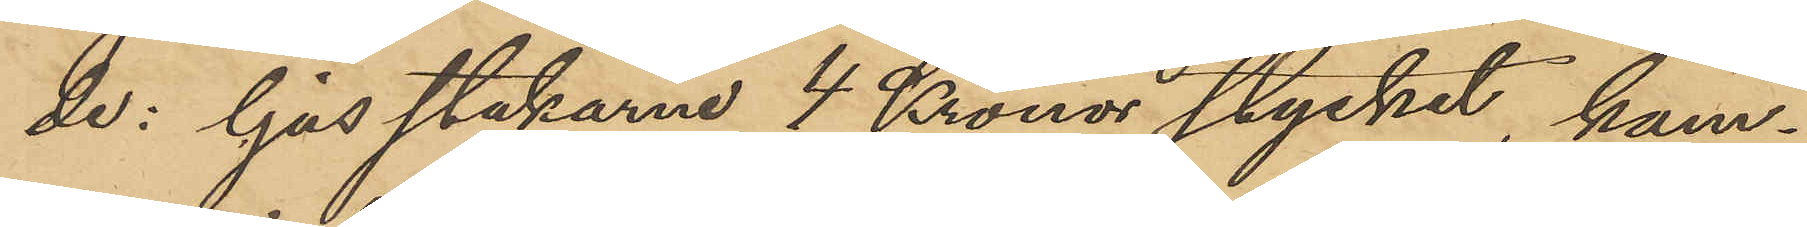de : ljusstakarne 4 Kronor stycket, kam¬
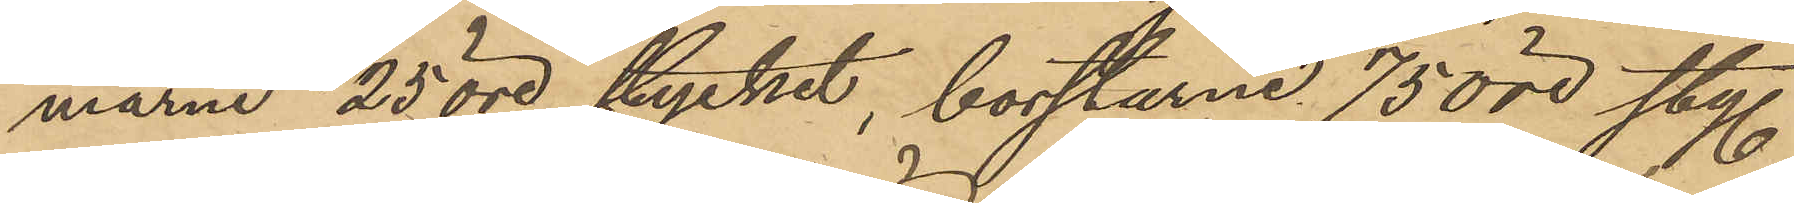marne 25 öre stycket, borstarne 75 öre sty.
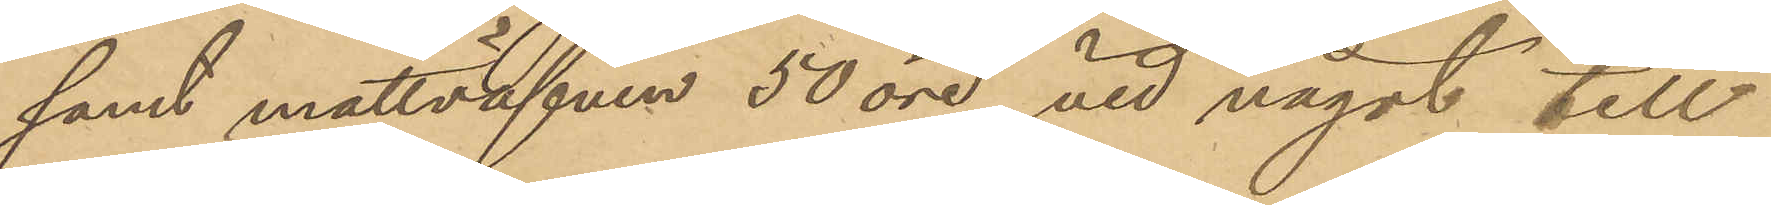samt mattväfven 50 öre, vid något till¬
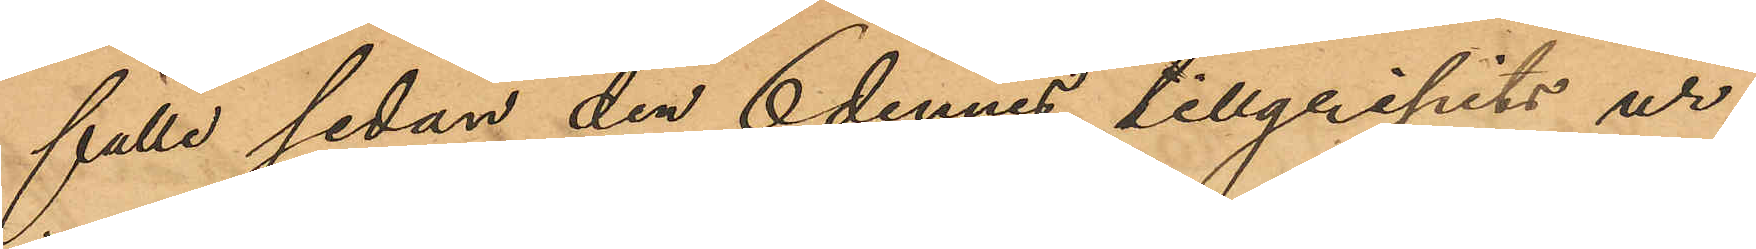fälle sedan den 6 dennes tillgripits ur
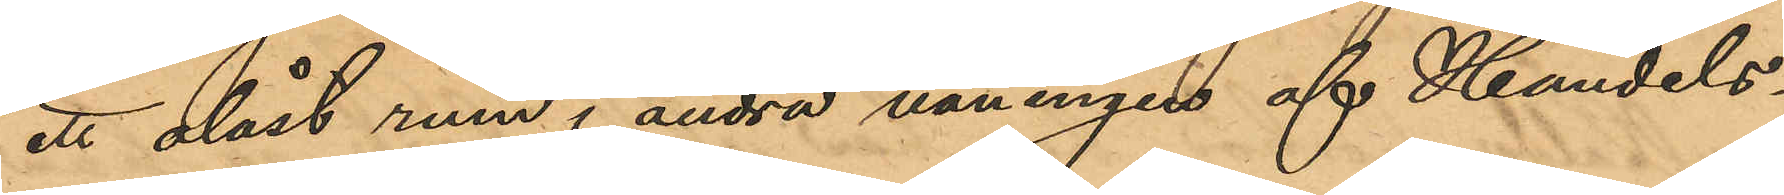ett olåst rum i andra våningen af Handels¬
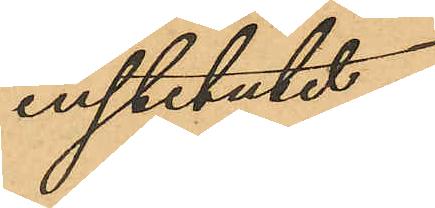institutet.
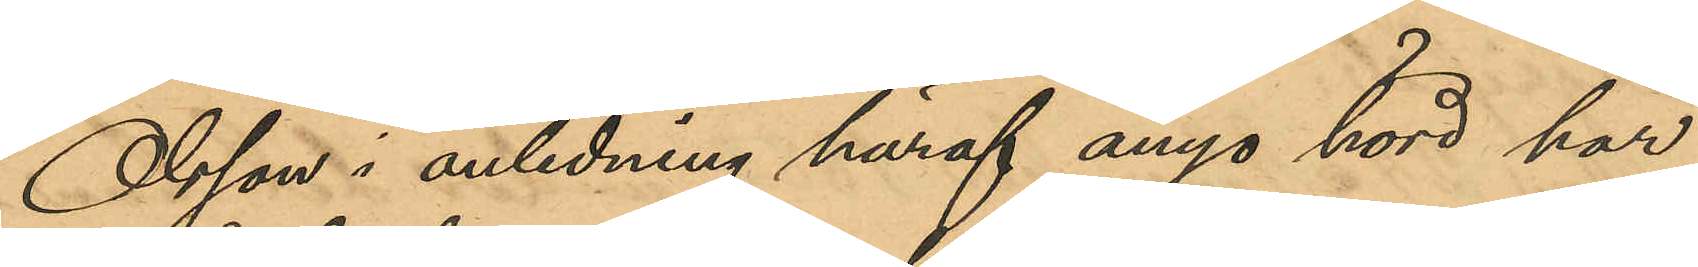Olsson i anledning häraf ånyo hörd, har
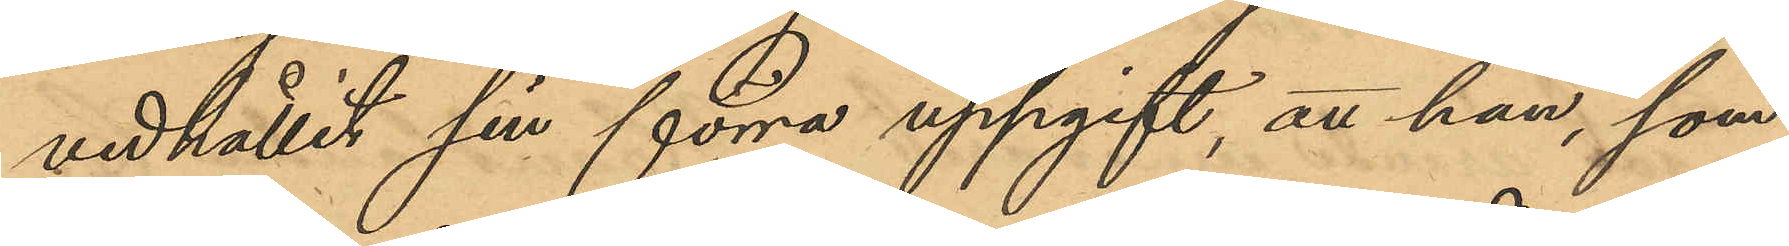vidhållit sin förra uppgift, att han, som
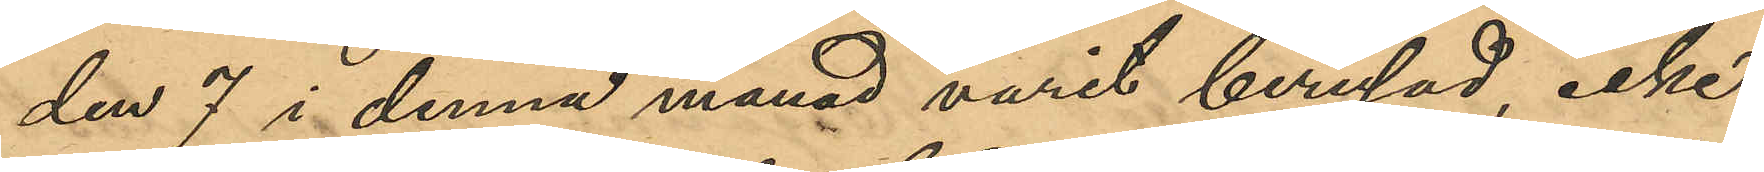den 7 i denna månad varit berusad, icke
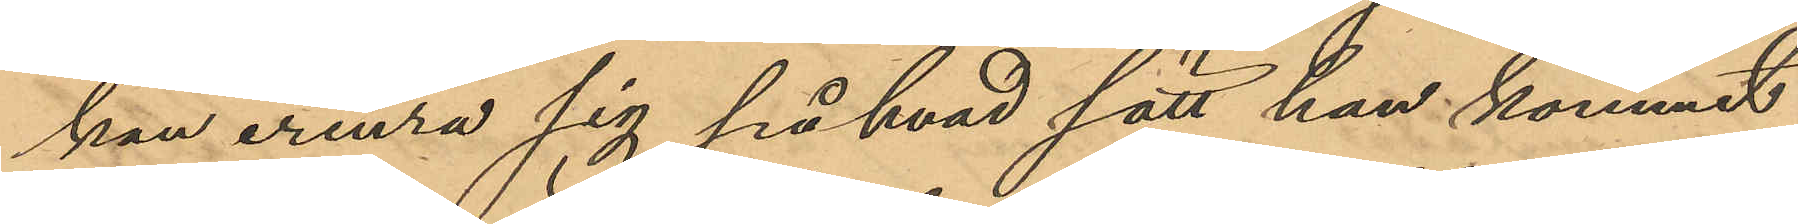kan erinra sig på hvad sätt han kommit
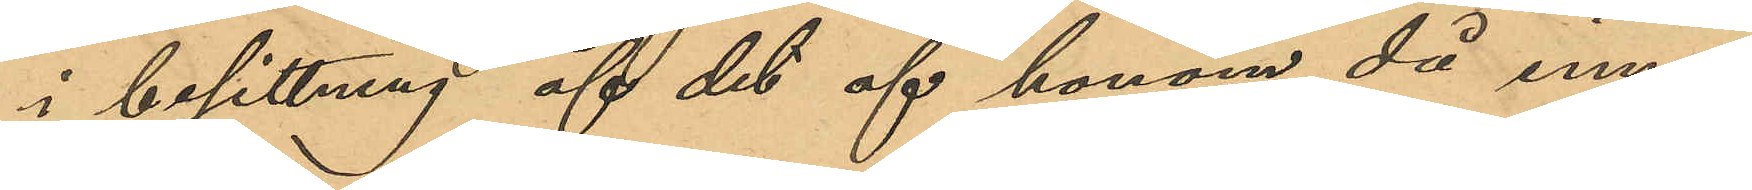i besittning af det af honom då inne¬
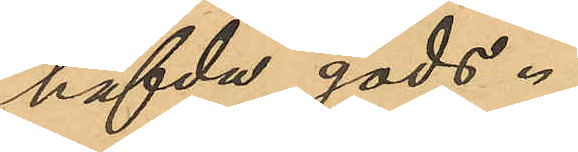hafda gods.
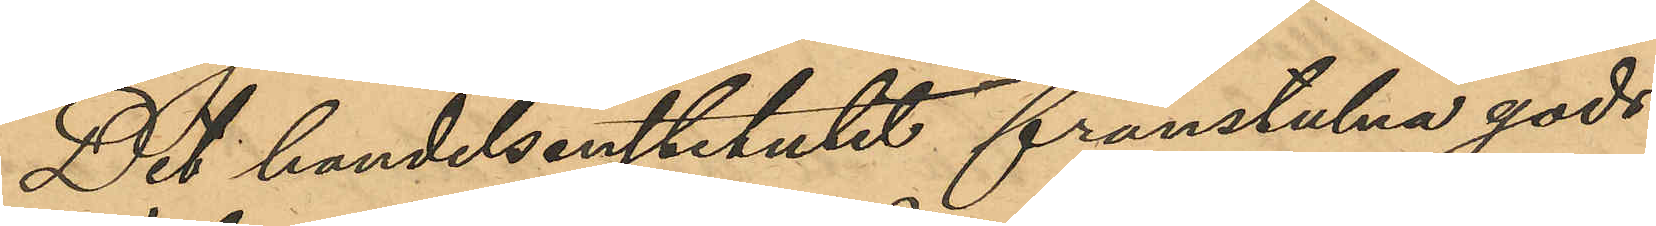Det handelsinstitutet frånstulna gods
